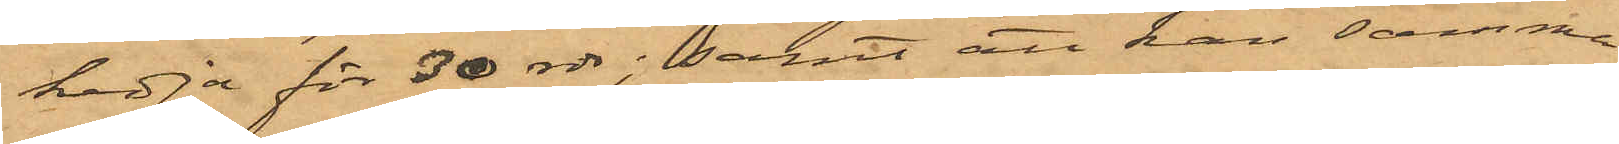kedja för 30 rdr; samt att han samma
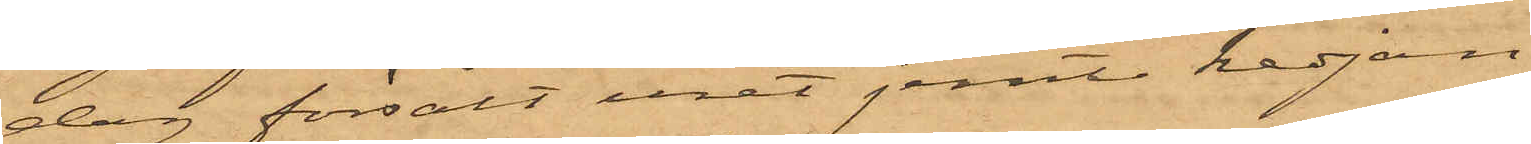dag försålt uret jemte kedjan
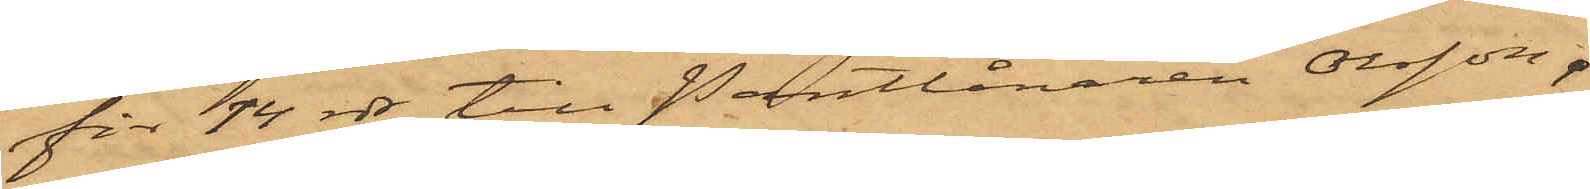för 14 rdr till Pantlånaren Olsson.
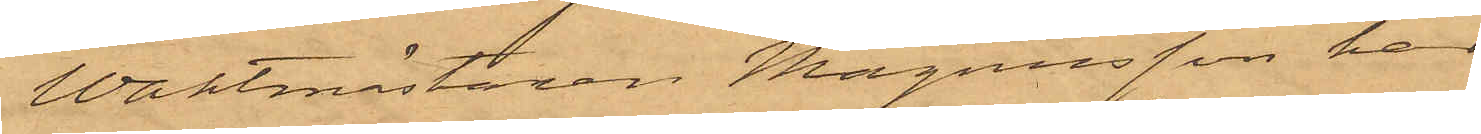Waktmästaren Magnusson har
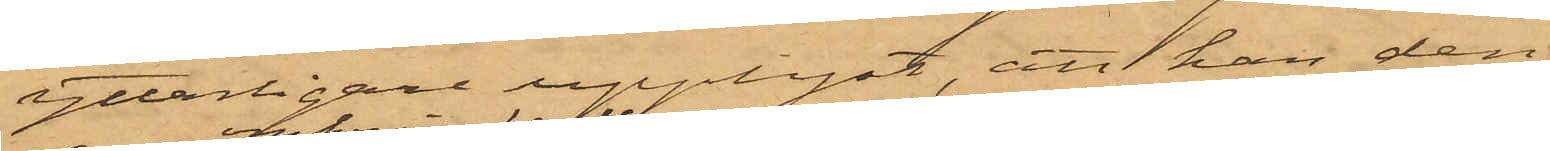ytterligare upplyst, att han den
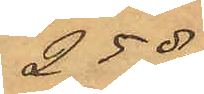25 ds
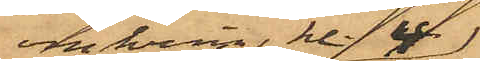omkring kl. 4
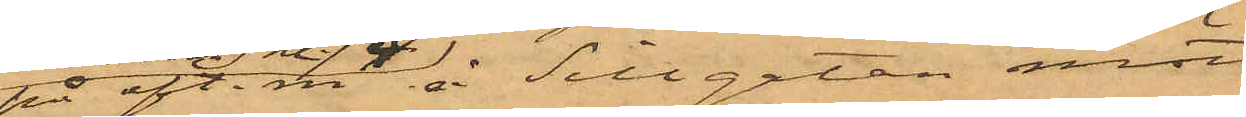på eft.m. å Sillgatan mött
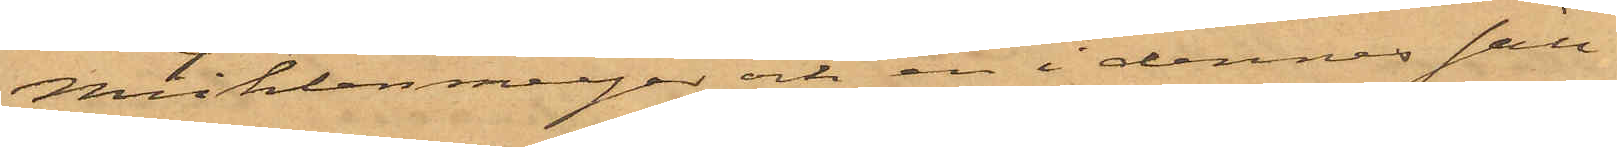Mühlenmeijer och en i dennes säll¬
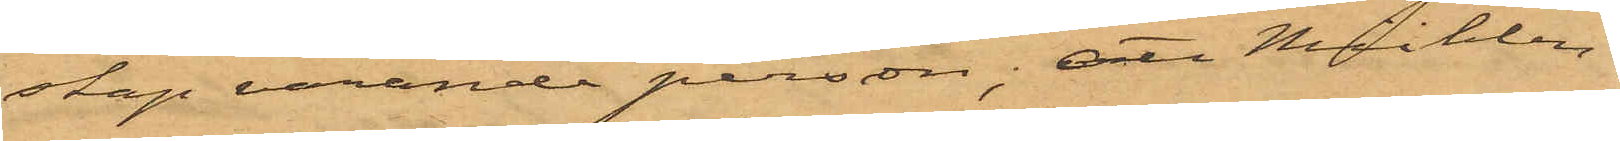skap varande person; att Mühlen-
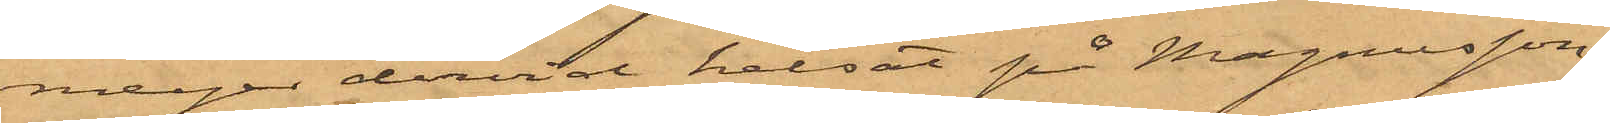meijer dervid helsat på Magnusson,
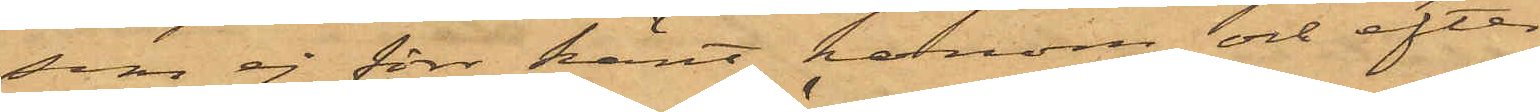som ej förr känt honom, och efter
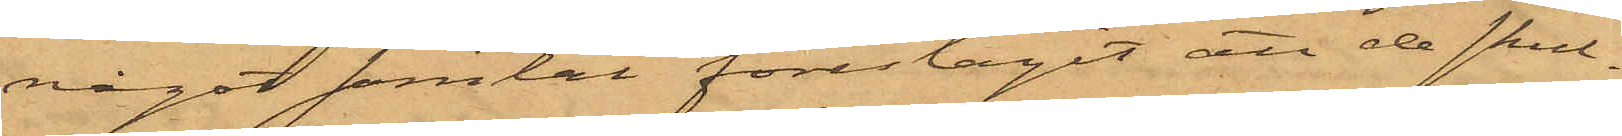något samtal föreslagit att de skul¬
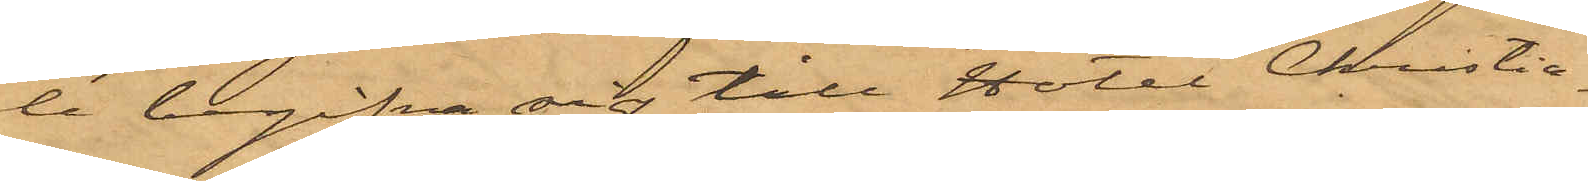le begifva sig till Hotel Christia¬
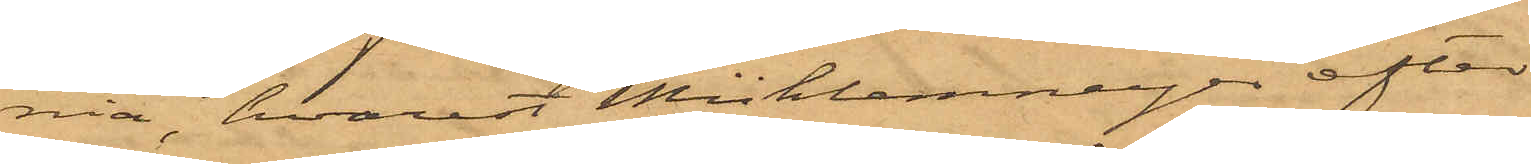nia, hvarest Mühlenmeijer efter
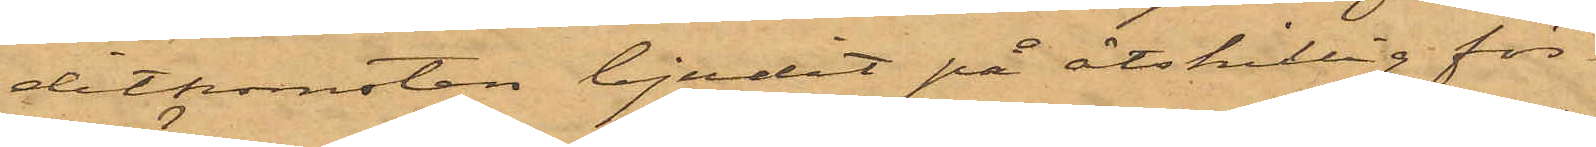ditkomsten bjudit på åtskillig för¬
